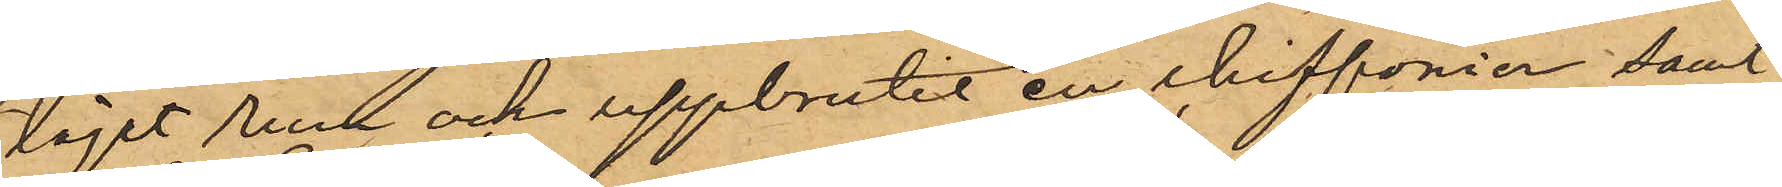läget rum och uppbrutit en chiffonier samt
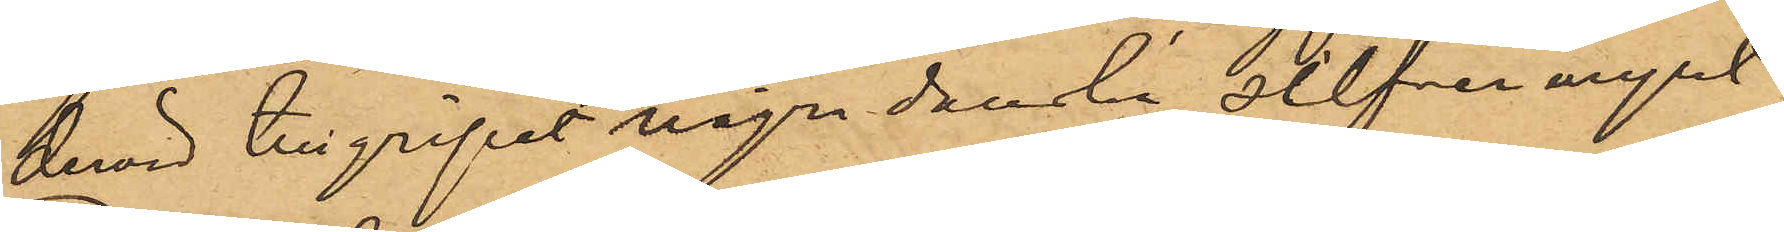dervid tillgripit några danska silfvermynt;
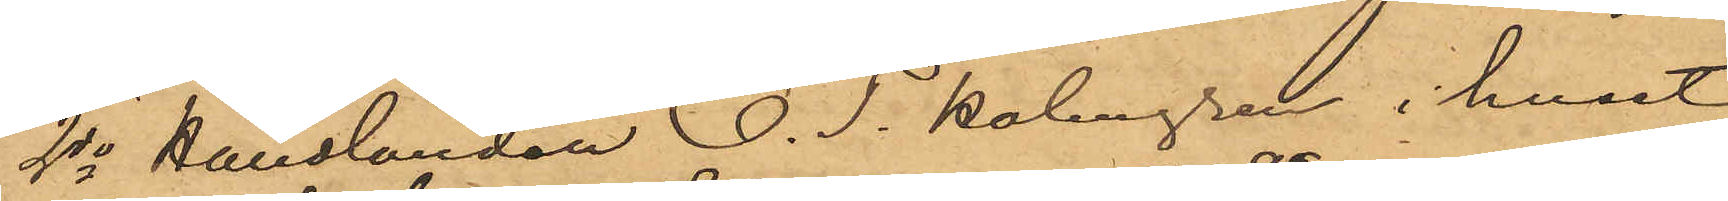2o Handlanden O. T. Holmgren i huset
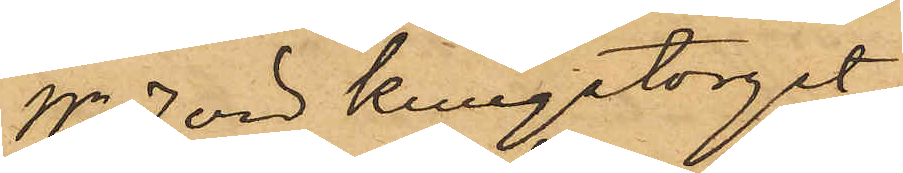No 7 vid Kungstorget,
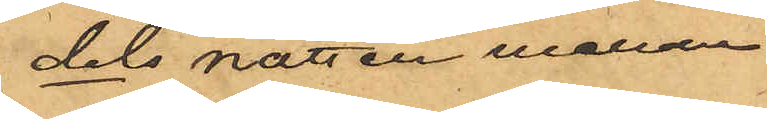dels att natten mellan
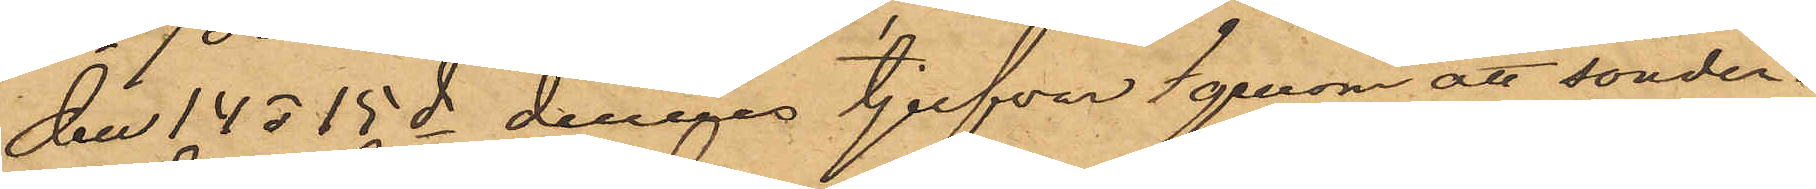den 14 o 15 ds dennes tjufvar genom att sönder¬
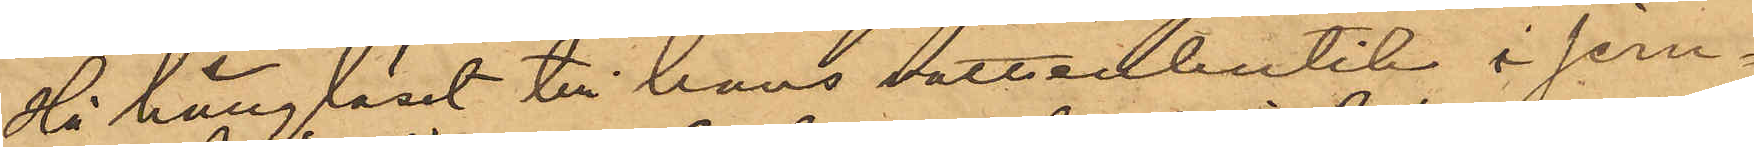slå hänglåset till hans vattenbutik i jern¬
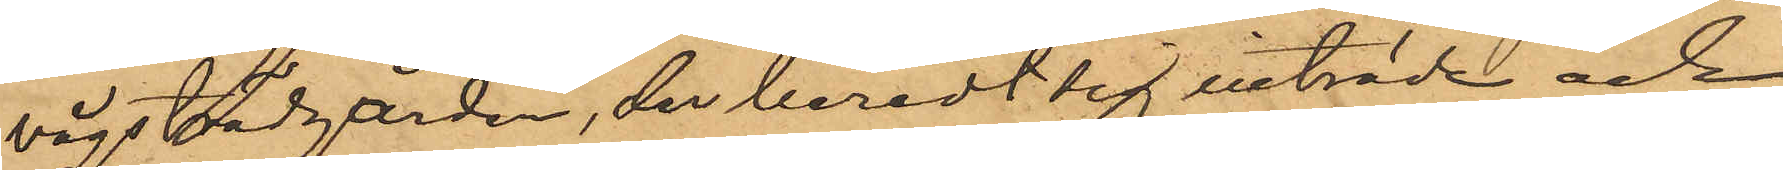vågsträdgården, der beredt sig inträde och
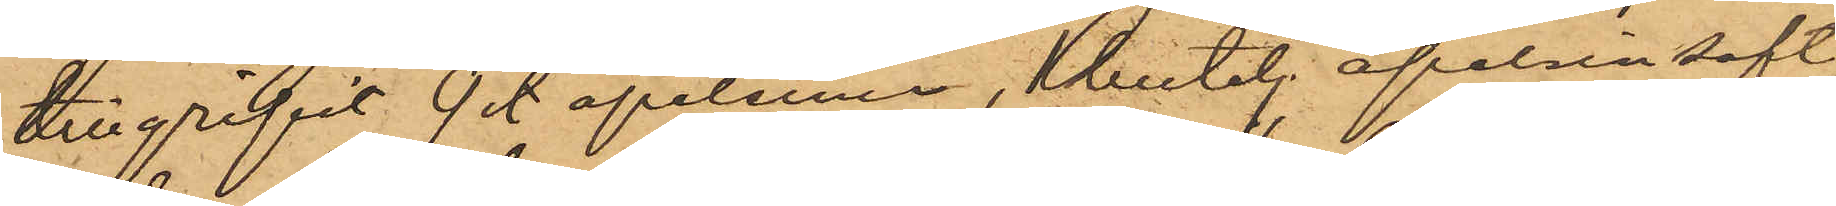tillgripit 9 sty. apelsiner, 1 butelj apelsinsaft,
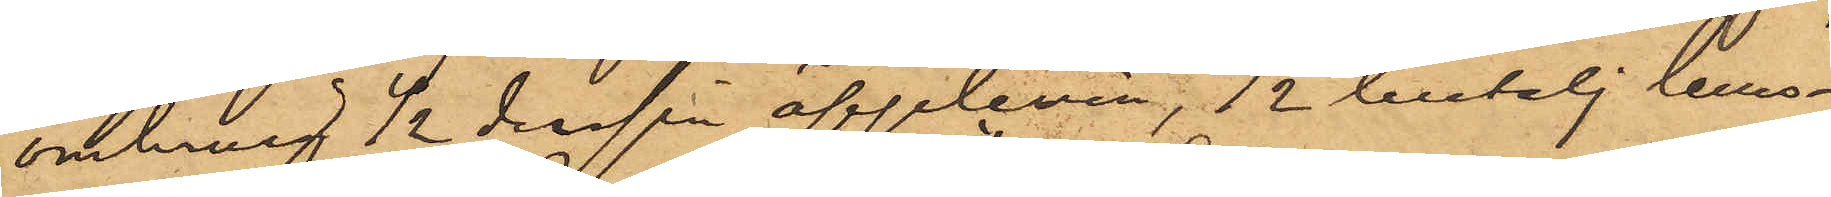omkring ½ dussin äpplevin, ½ butelj lemo¬
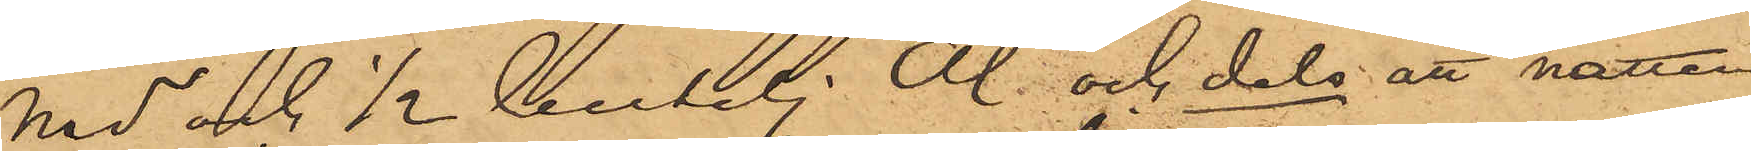nad och ½ butelj Öl och dels att natten
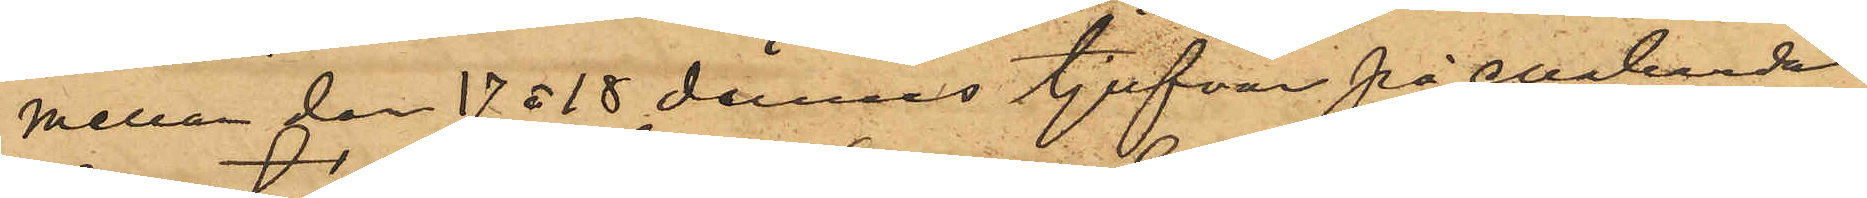mellan den 17 ø 18 dennes tjufvar på enahanda
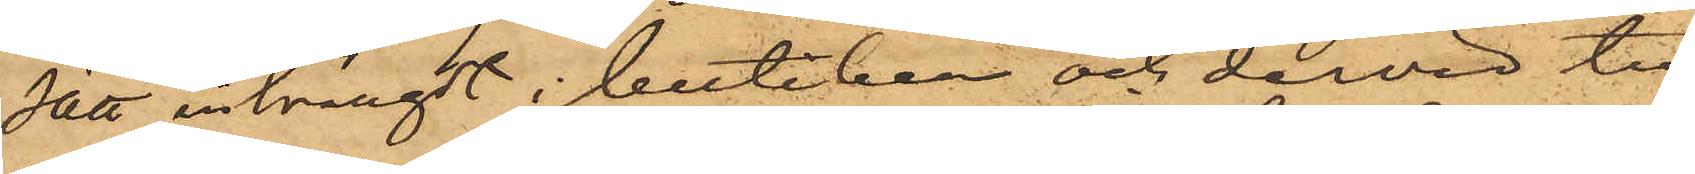sätt inträngt i butiken och dervid till¬
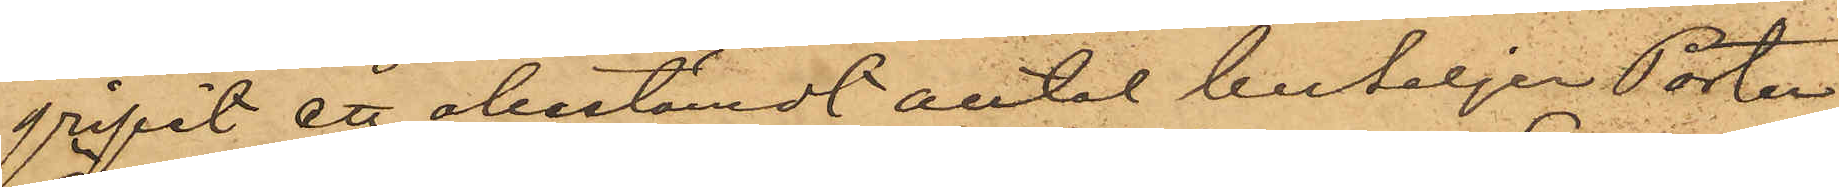gripit ett obestämdt antal buteljer Porter,
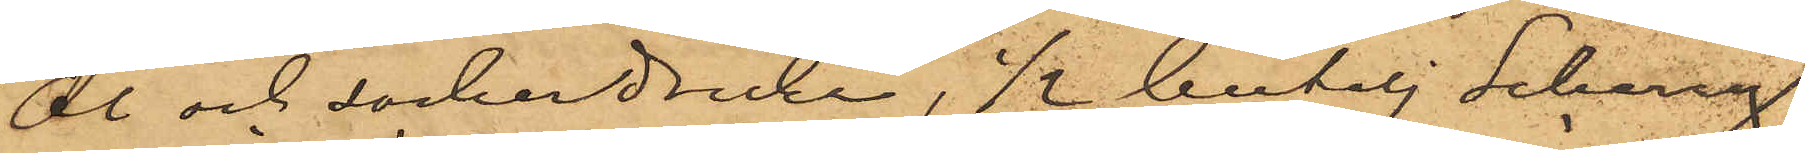Öl och sockerdricka, ½ butelj Scherry, 
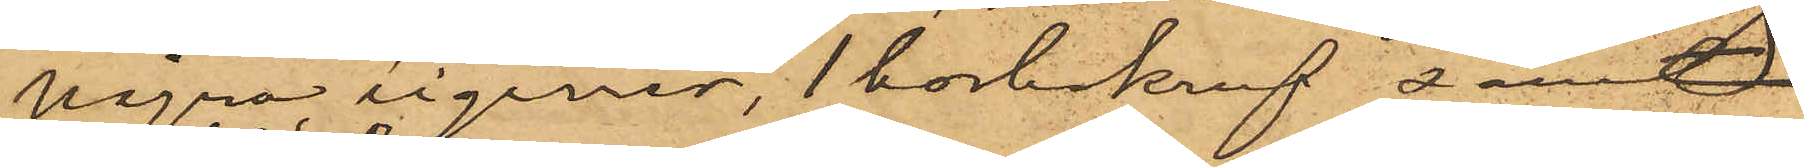några cigarrer, 1 korkskruf samt  
